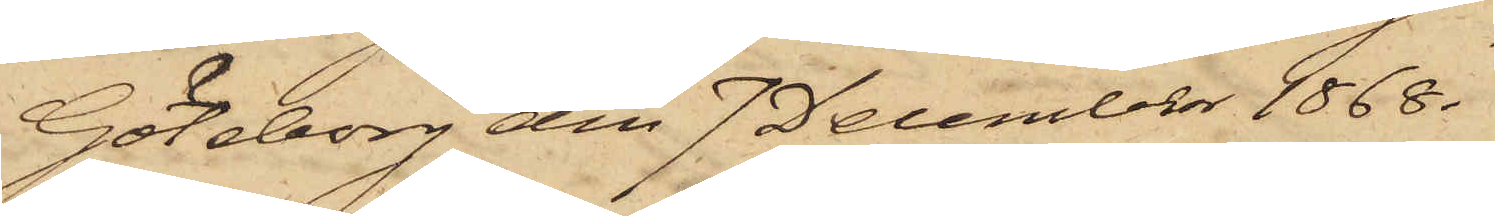Göteborg den 7 December 1868.
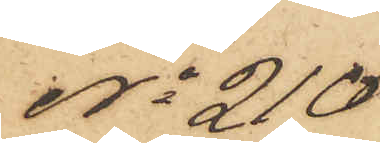No 210
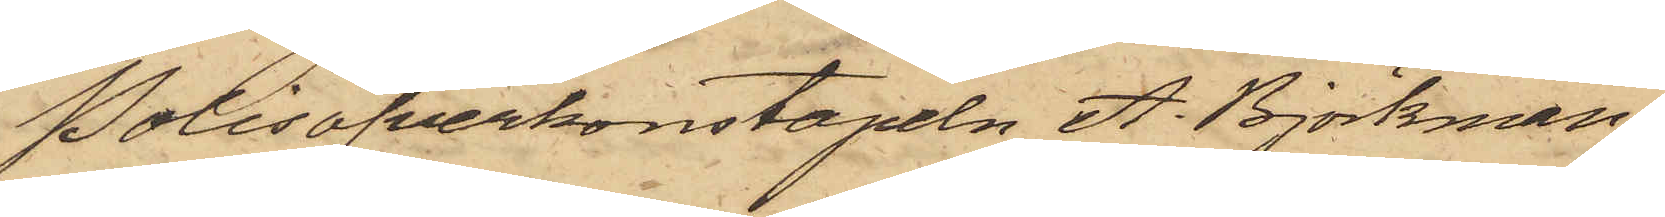Polisöfverkonstapeln A. Björkman
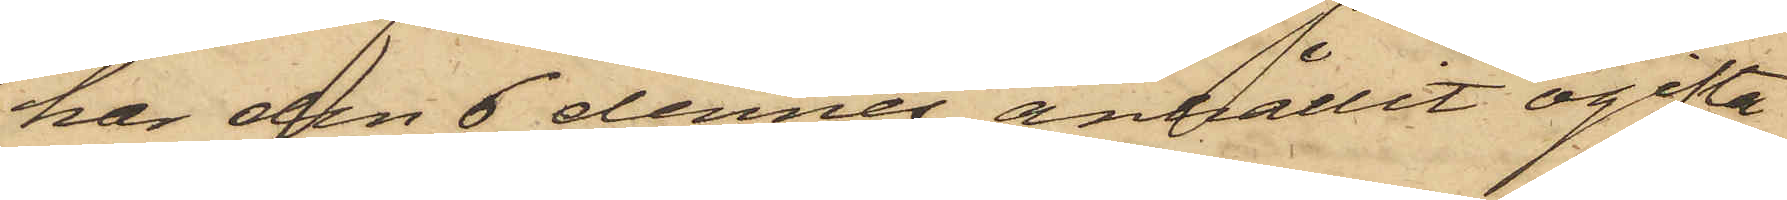har den 6 dennes anhållit ogifta
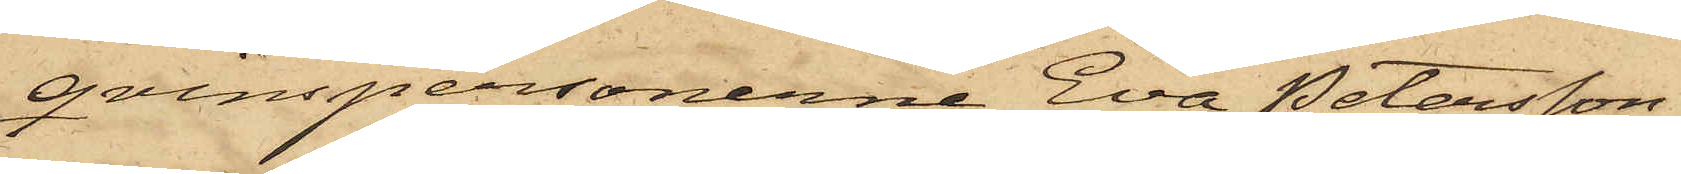qvinspersonerne Eva Petersson
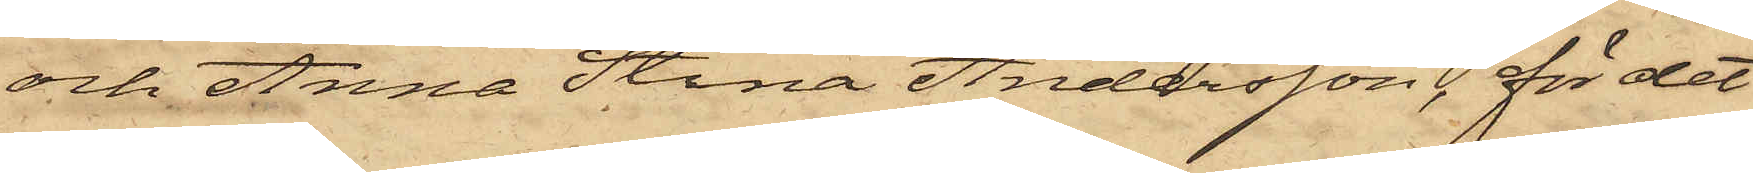och Anna Stina Andersson, för det
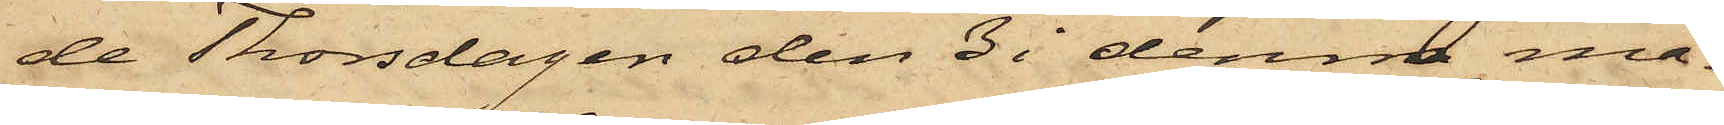de Thorsdagen den 3 i denna må¬
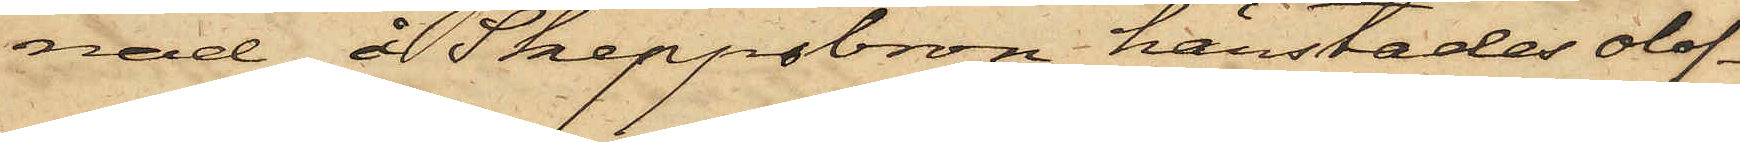nad å Skeppsbron härstädes olof¬
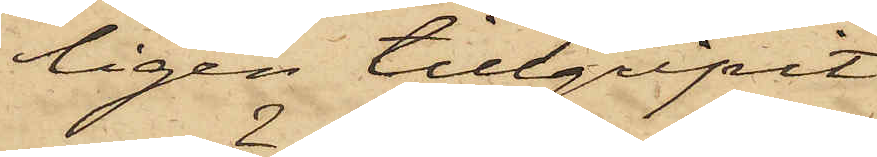ligen tillgripit
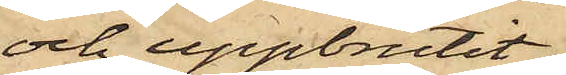och uppbrutit
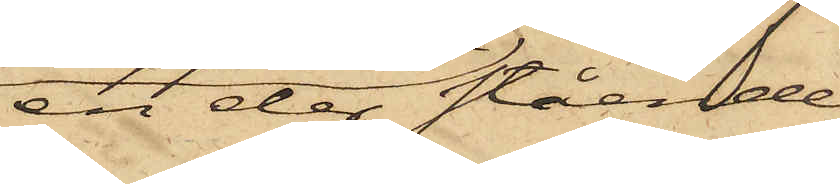en der stående
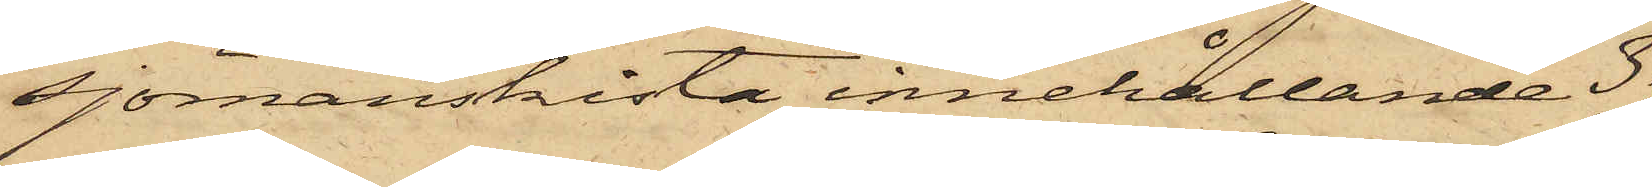Sjömanskista, innehållande 3 
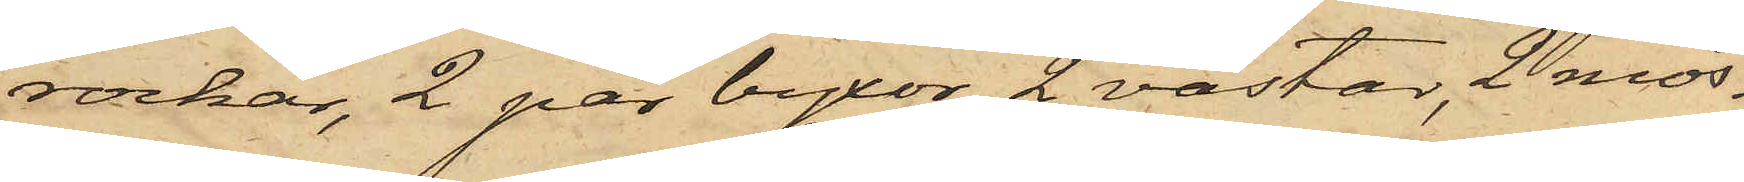rockar, 2 par byxor, 2 västar, 2 mös¬
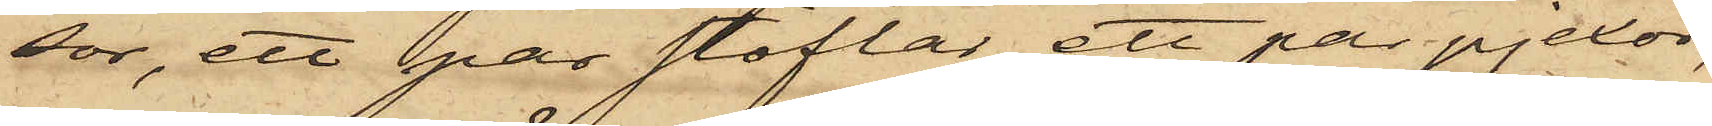sor, ett par stöflar, ett par pjexor,
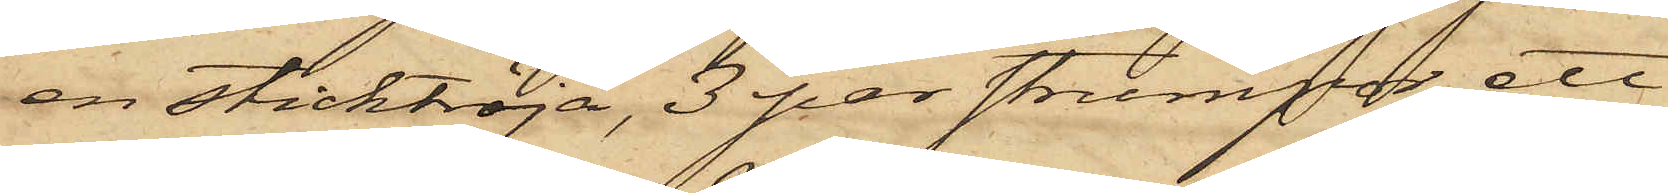en sticktröja, 3 par strumpor, ett
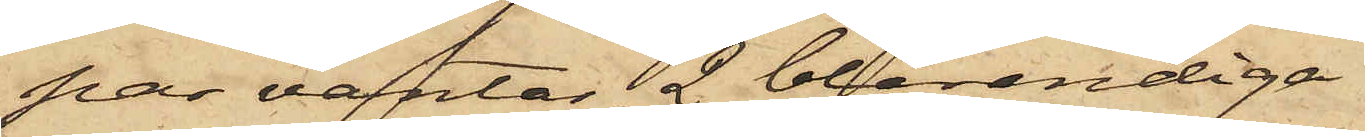par vantar, 2 blårandiga
